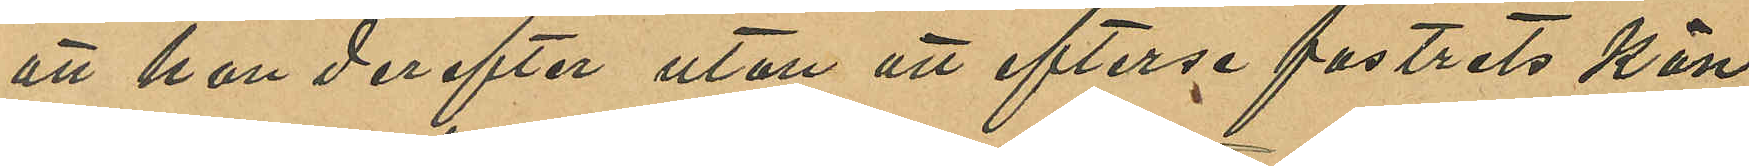att hon derefter utan att efterse fostrets kön
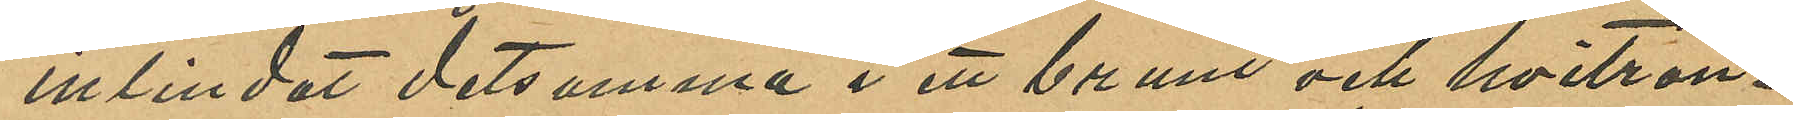inlindat detsamma i ett brunt och hvitran¬
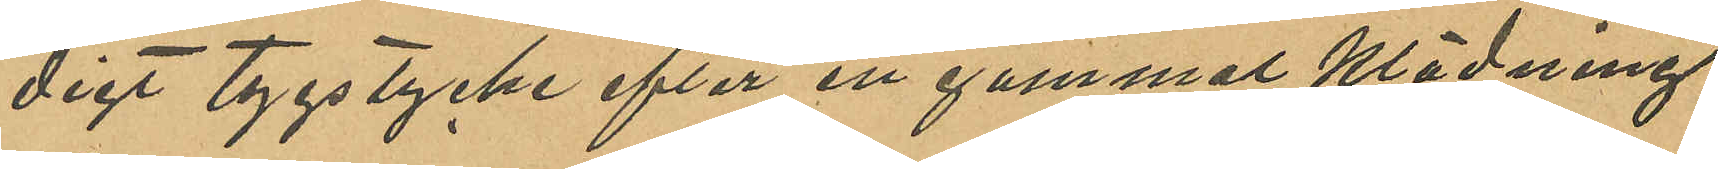digt tygstycke efter en gammal klädning
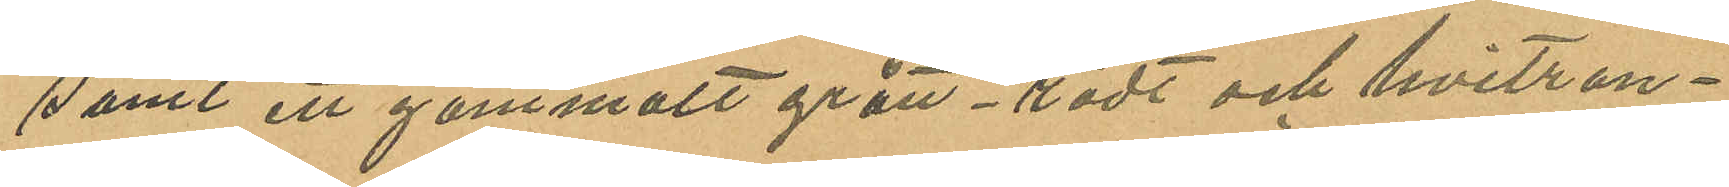samt ett gammalt grått-rödt och hvitran¬
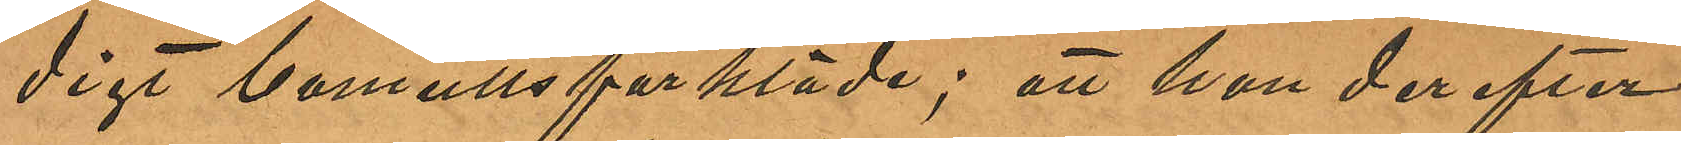digt bomullsförkläde; att hon derefter
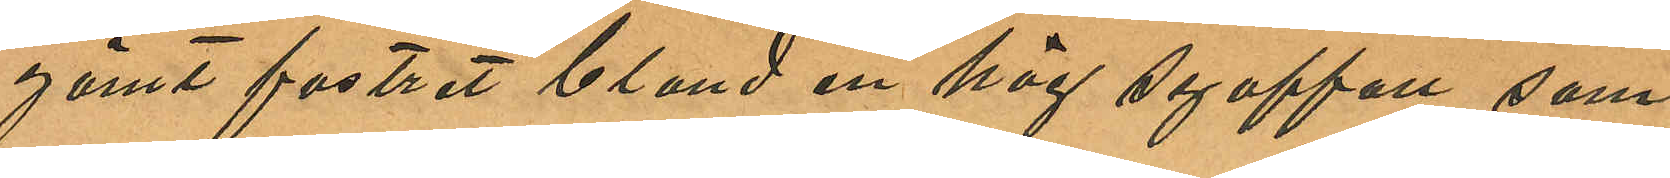gömt fostret bland en hög syaffall som
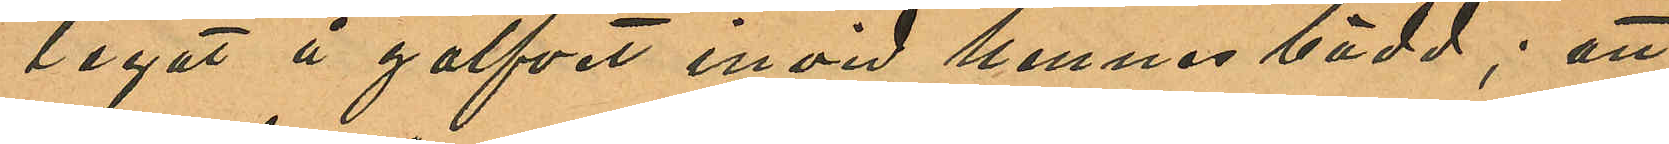legat å golfvet invid hennes bädd; att
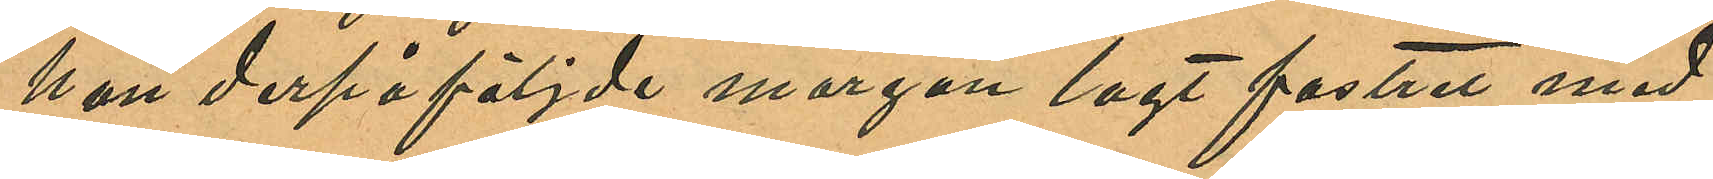hon derpåföljde morgon lagt fostret med
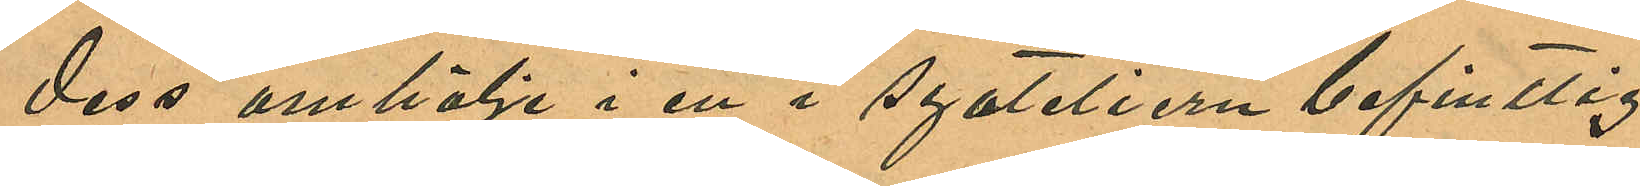dess omhölje i en i syateliern befintlig
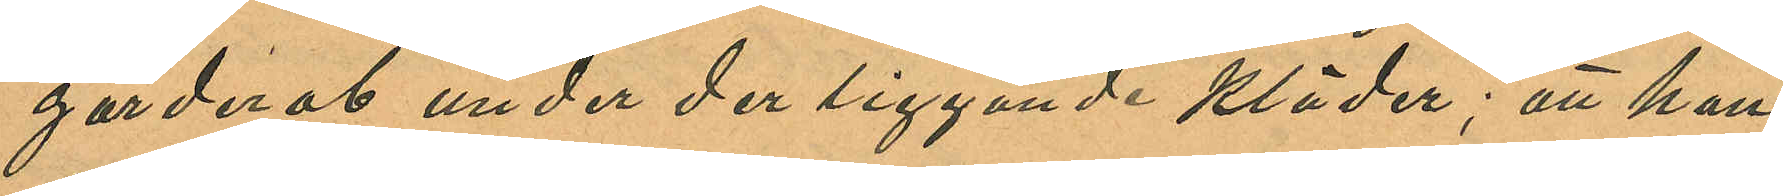garderob under der liggande kläder; att hon
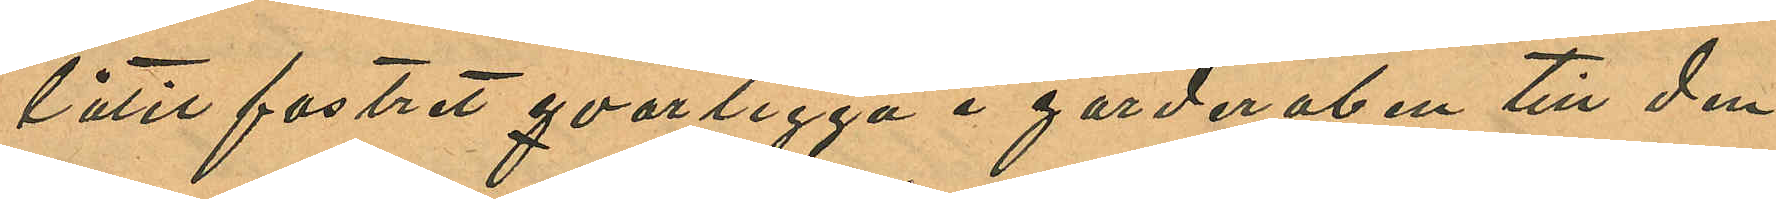låtit fostret qvarligga i garderoben till den
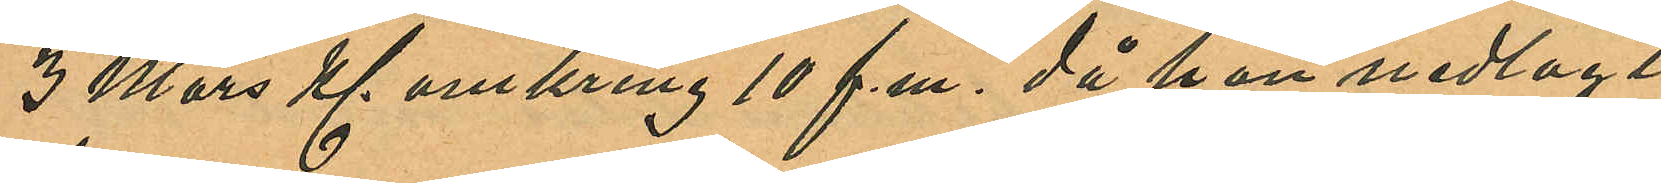3 Mars Kl. omkring 10 f.m. då han nedlagt
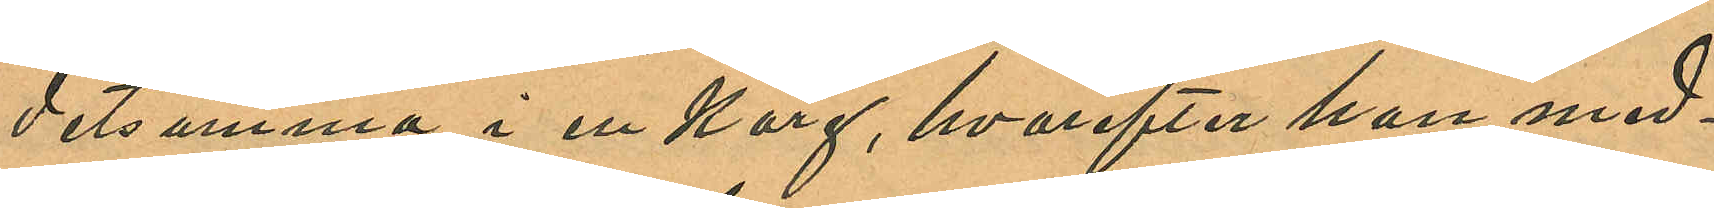detsamma i en korg, hvarefter hon med¬
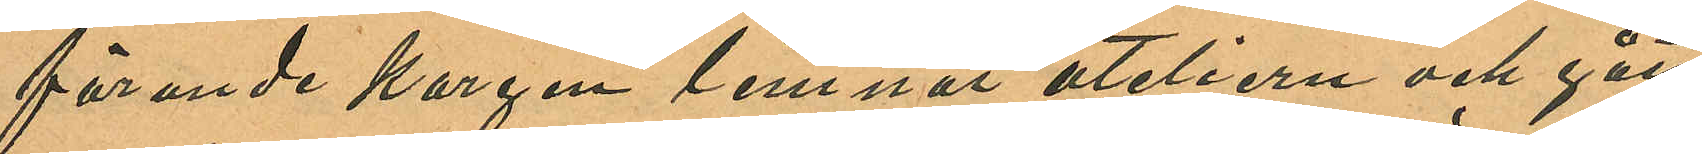förande korgen lemnat ateliern och gått
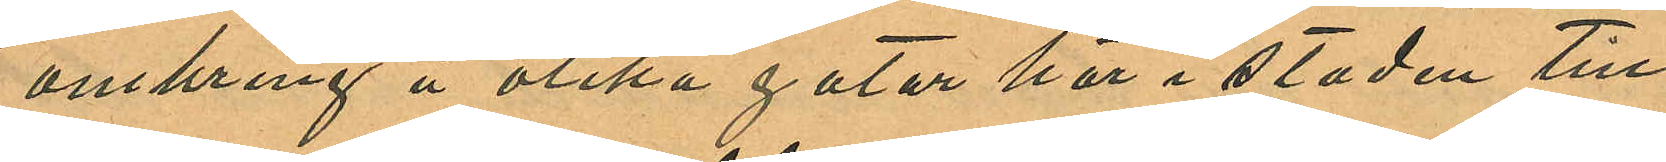omkring å olika gator här i staden till
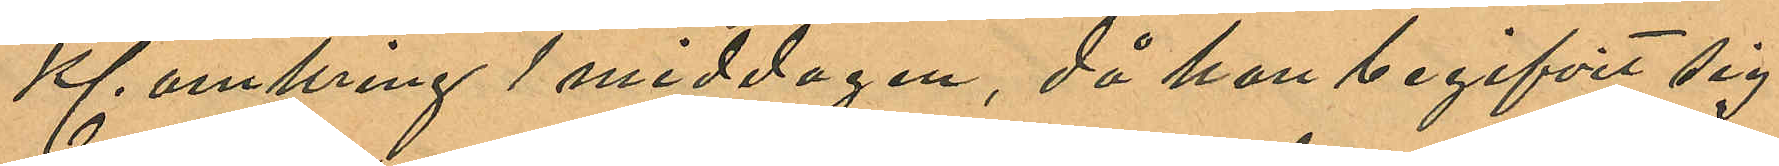Kl. omkring 1 middagen, då hon begifvit sig
